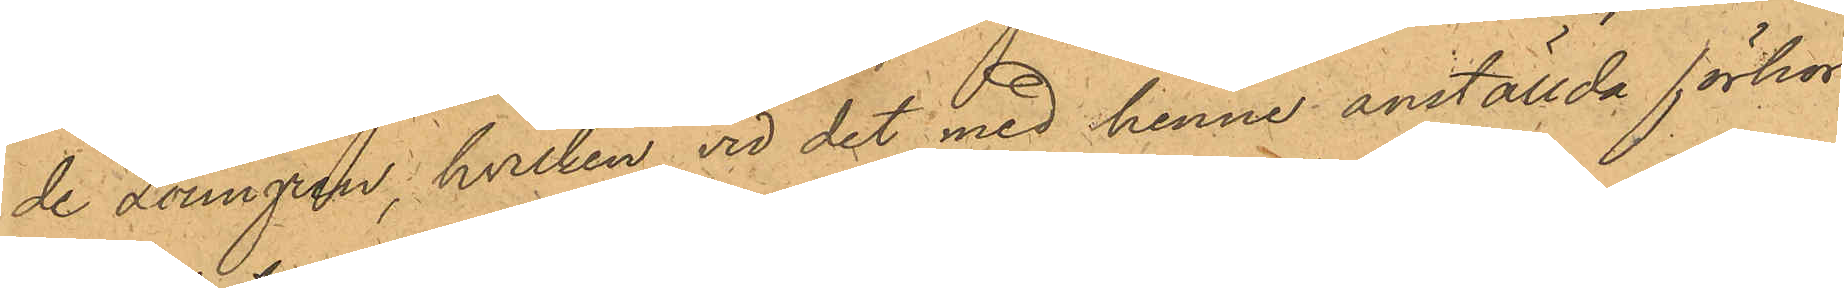de Lönngren, hvilken vid det med henne anställda förhör
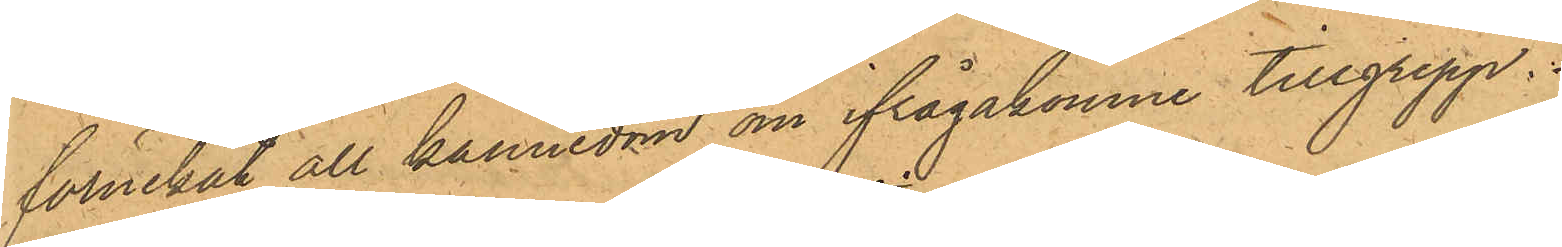förnekat all kännedom om ifrågakomne tillgrepp.
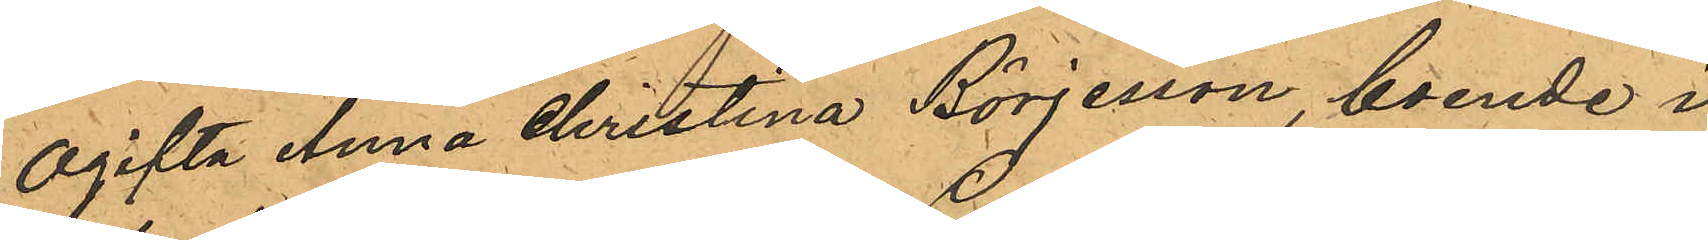Ogifta Anna Christina Börjesson, boende i
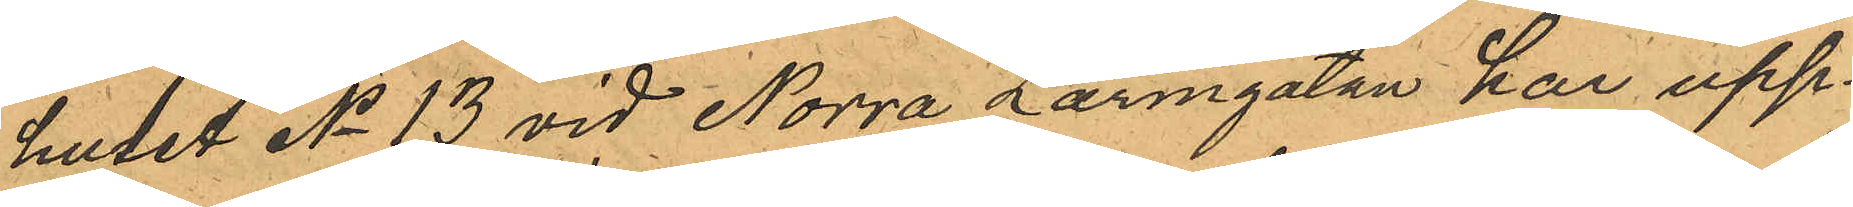huset No 13 vid Norra Larmgatan har upp¬
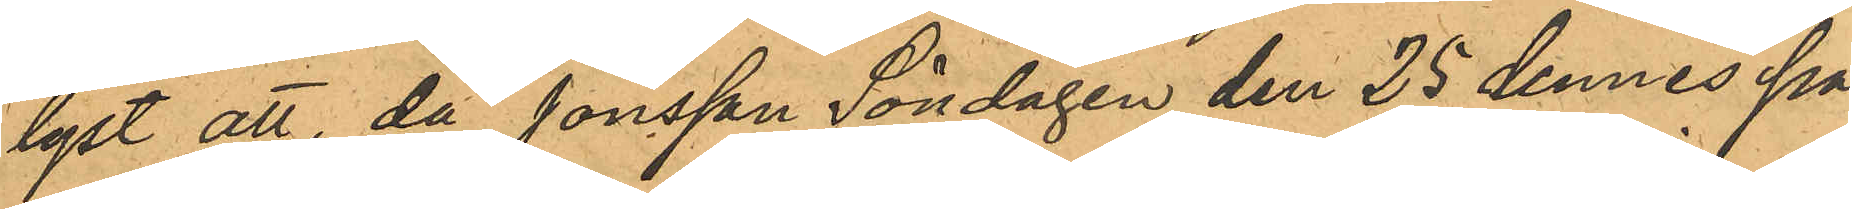lyst att, då Jonsson Söndagen den 25 dennes på
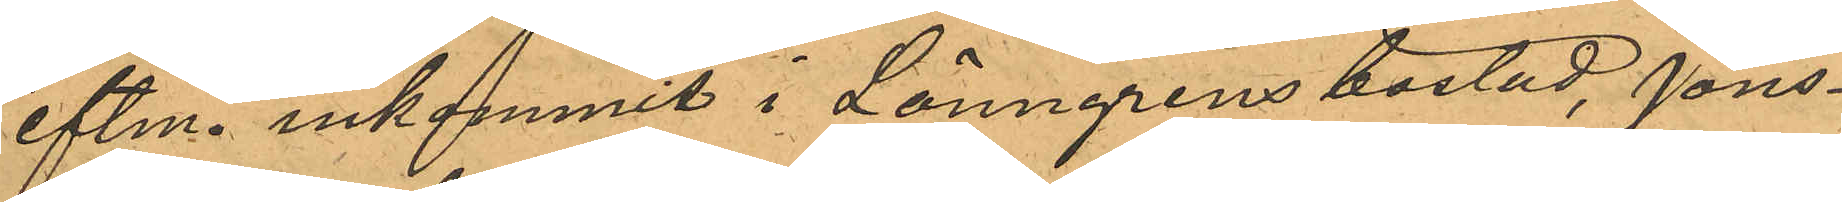eftm. inkommit i Lönngrens bostad, Jons¬
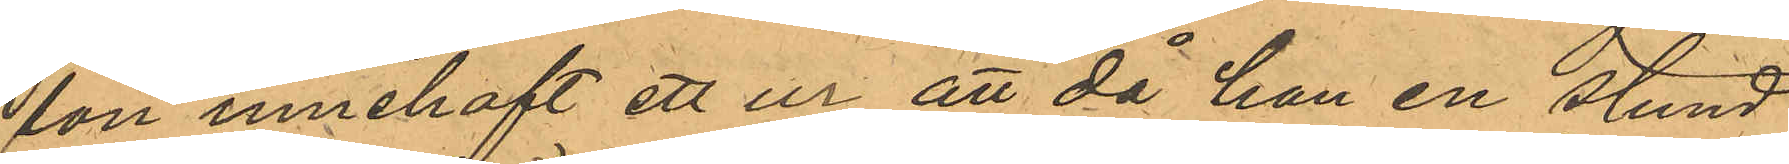son innehaft ett ur, att då han en stund
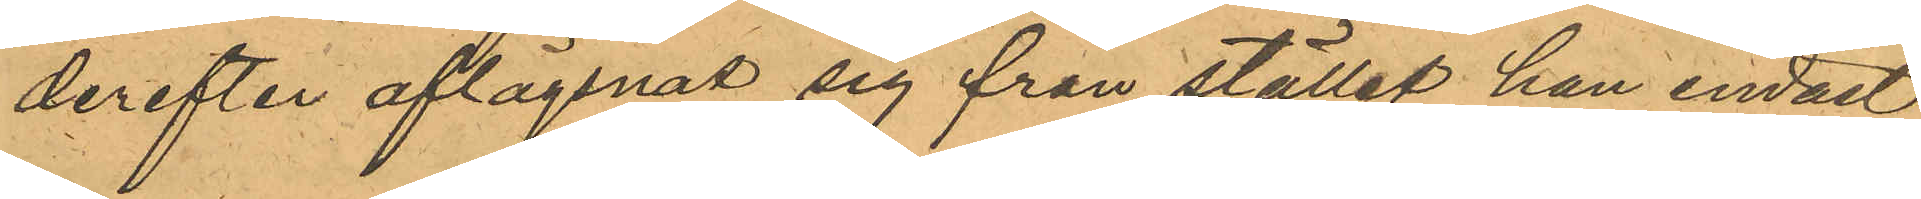derefter aflägsnat sig från stället han endast
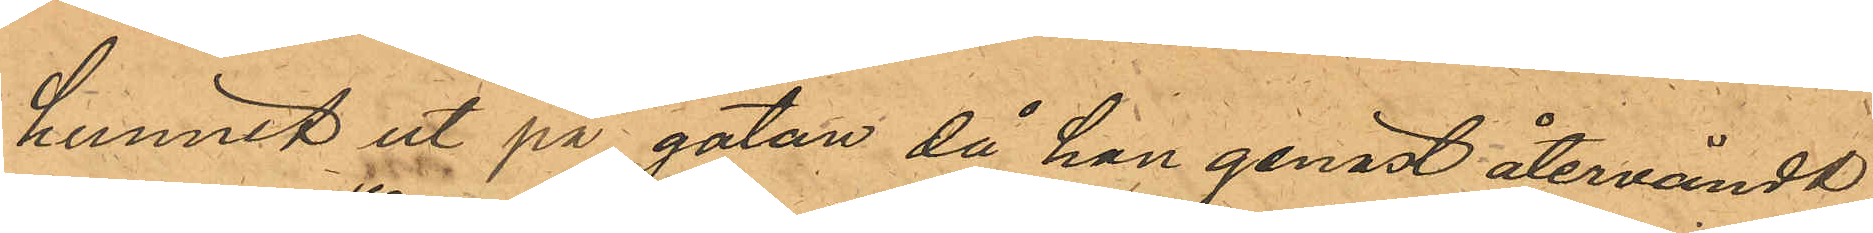hunnit ut på gatan, då han genast återvändt,
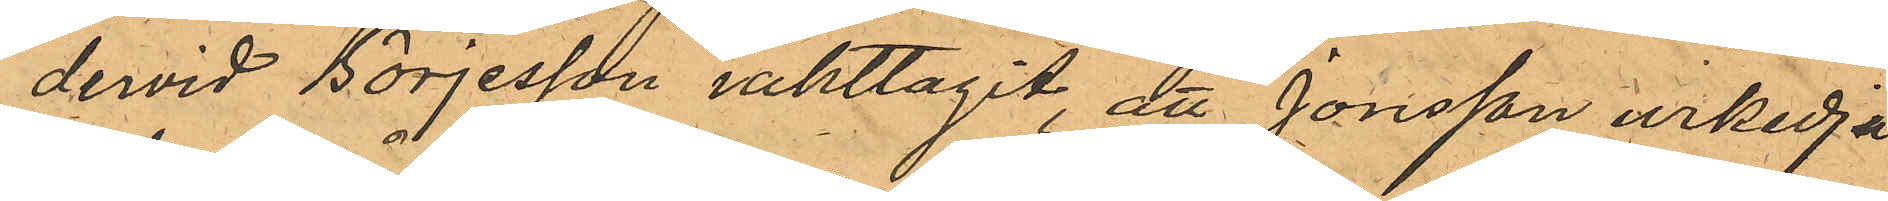dervid Börjesson iakttagit, att Jonsson urkedja
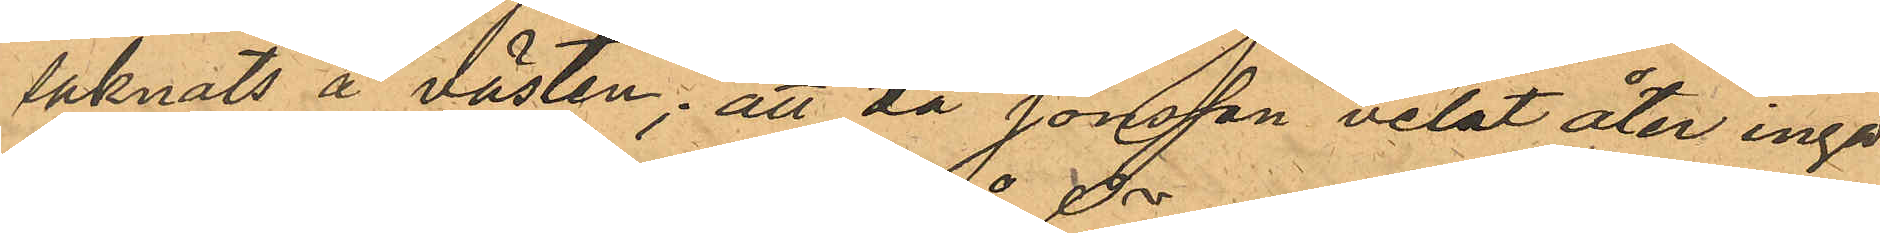saknats å västen; att då Jonsson velat åter ingå¬
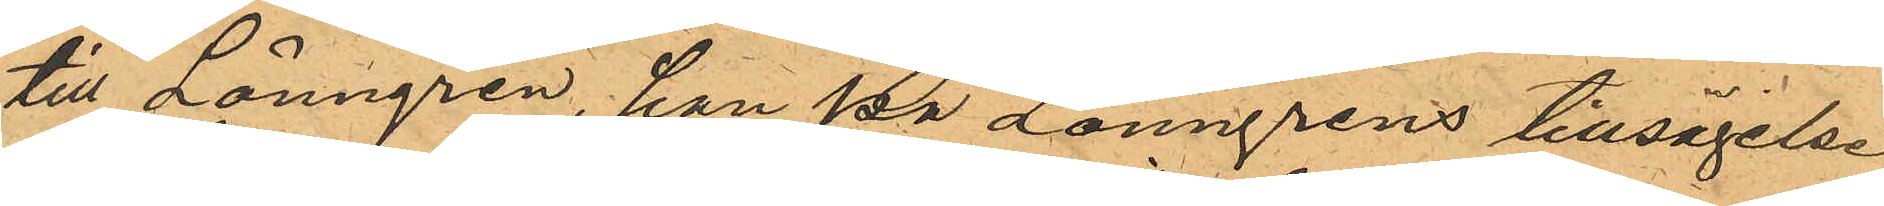till Lönngren, han på Lönngrens tillsägelse,
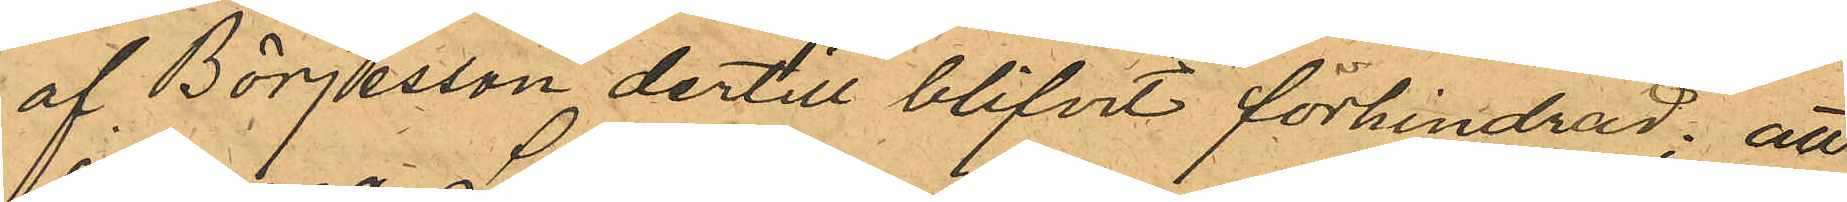af Börjesson dertill blifvit förhindrad; att
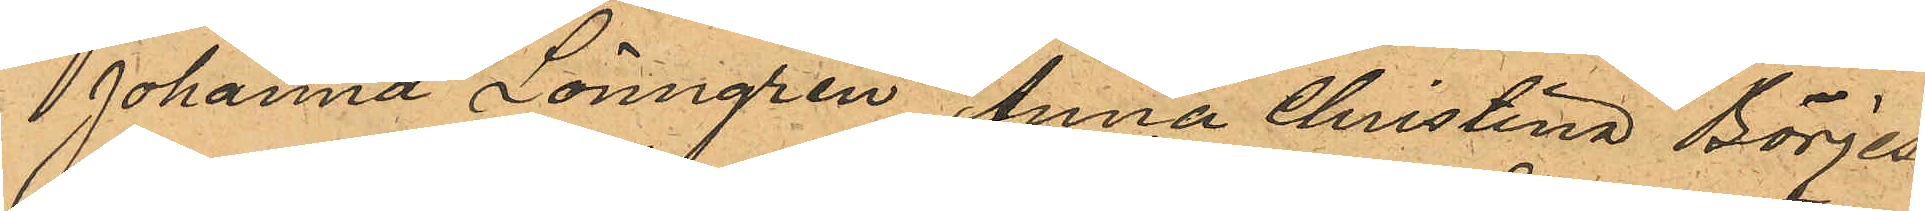Johanna Lönngren, Anna Christina Börjes¬
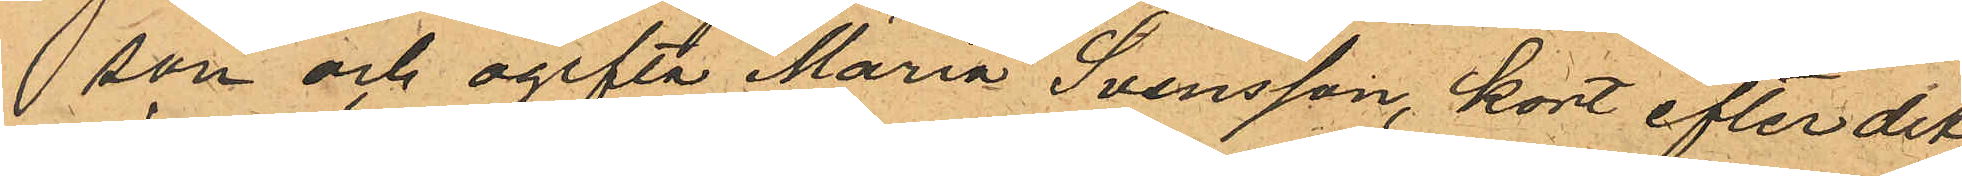son och ogifta Maria Svensson, kort efter det
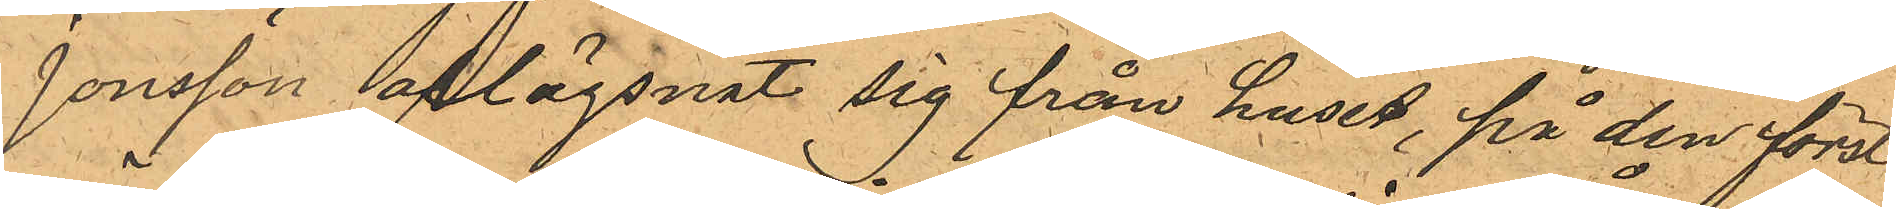Jonsson aflägsnat sig från huset, på den först¬
